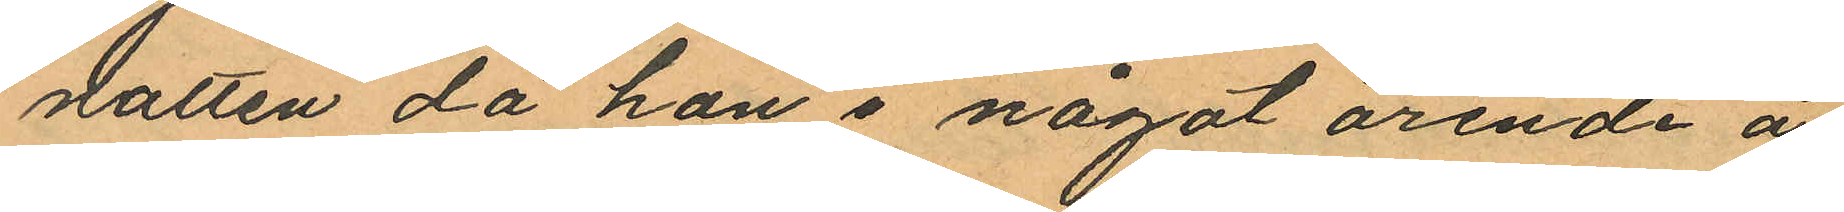natten då hon i något ärende å
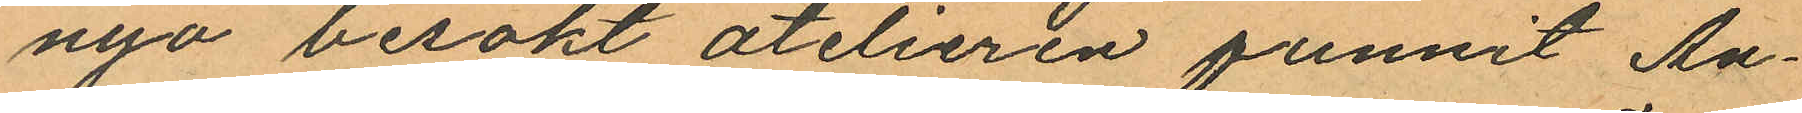nyo besökt atelieren funnit An¬
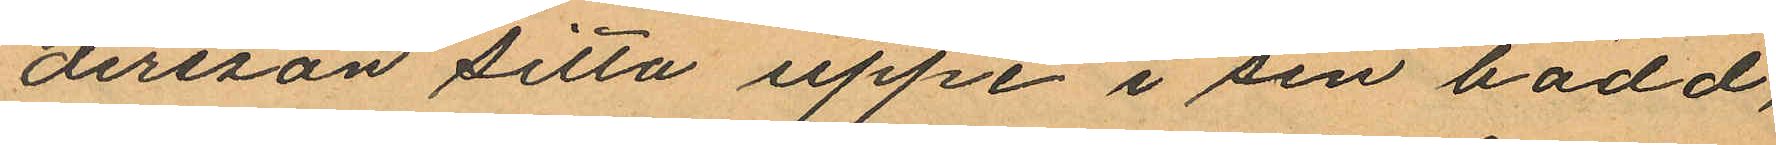dersson sitta uppe i sin bädd,
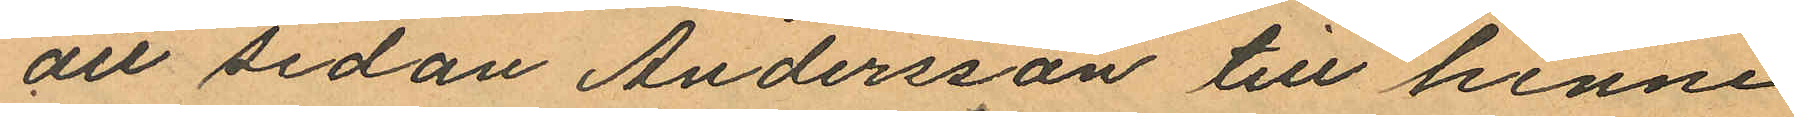att sedan Andersson till henne
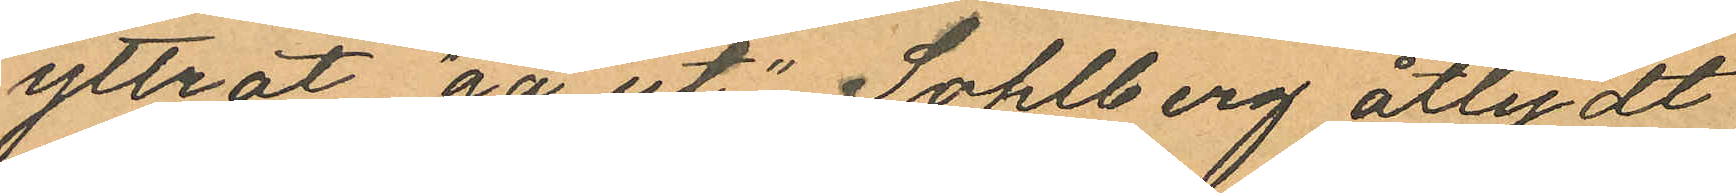yttrat "gå ut", Sohlberg åtlydt
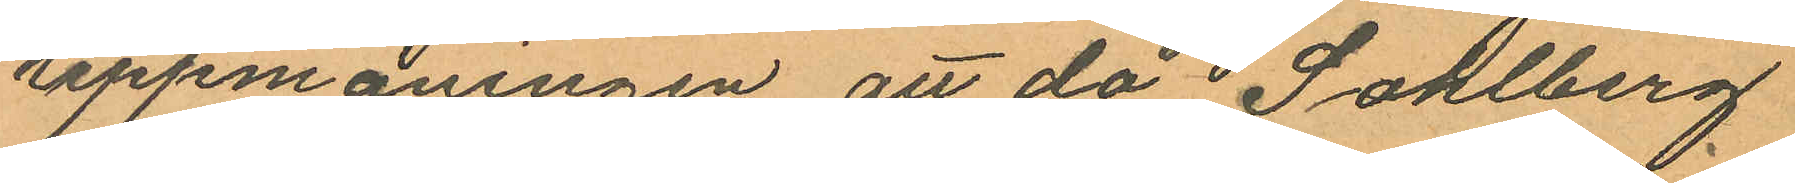uppmaningen, att då i Sohlberg
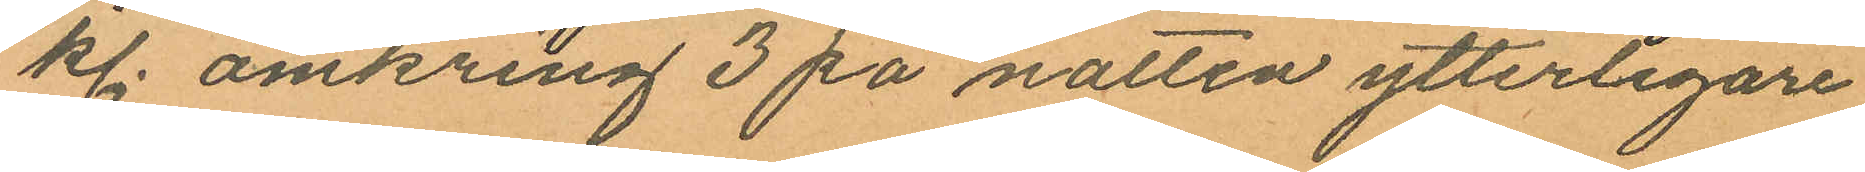kl. omkring 3 på natten ytterligare
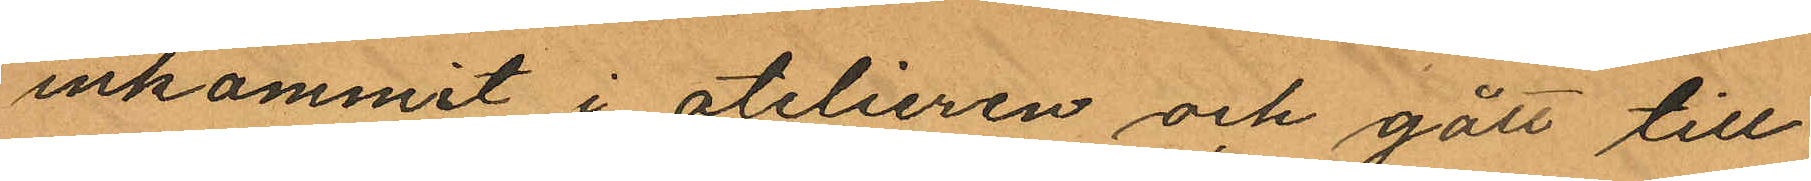inkommit i atelieren och gått till
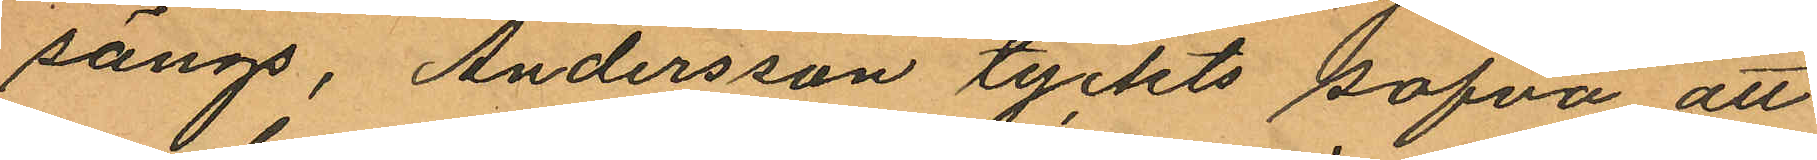sängs, Andersson tyckts sofva att
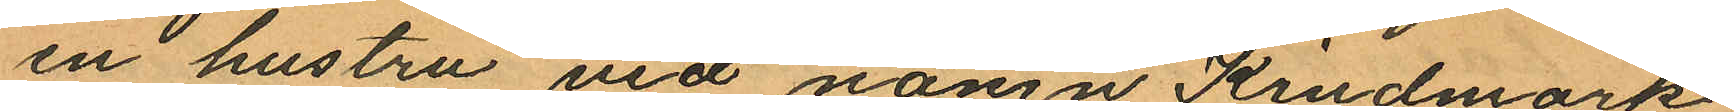en hustru vid namn Kindmark
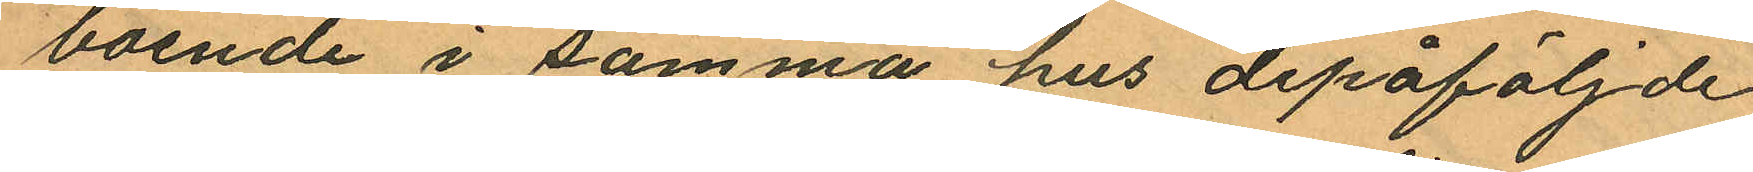boende i samma hus depåföljde
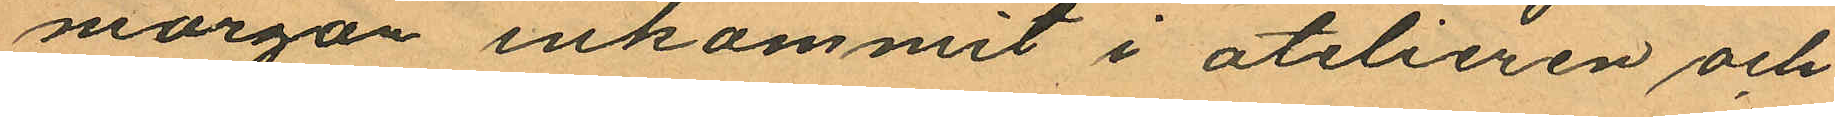morgon inkommit i atelieren och
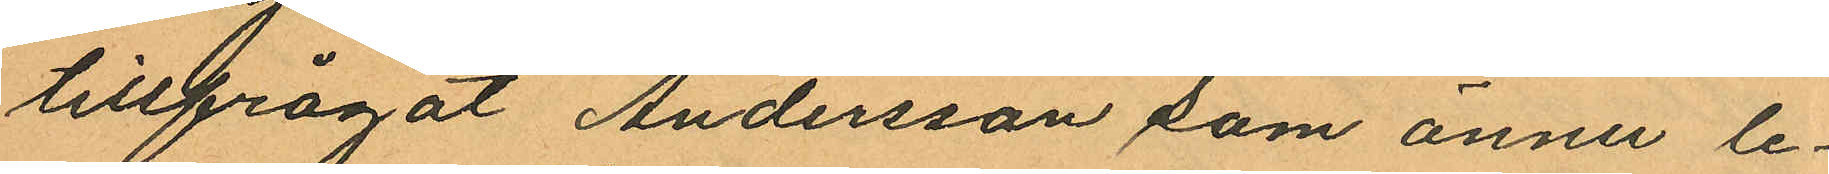tillfrågat Andersson som ännu le¬
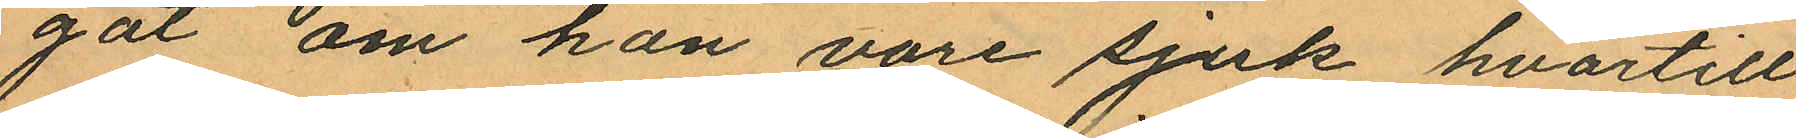gat om hon vore sjuk, hvartill
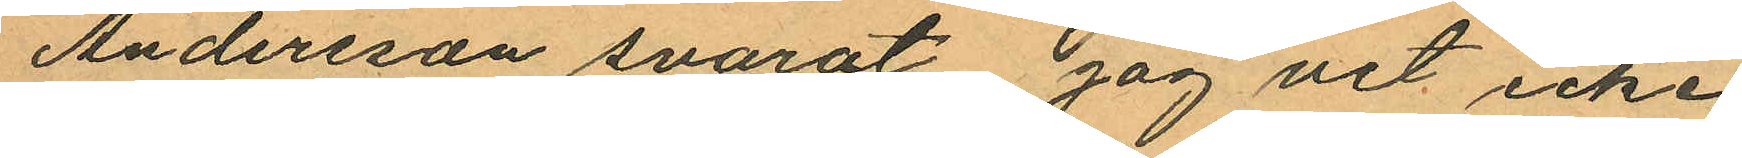Andersson svarat jag vet icke
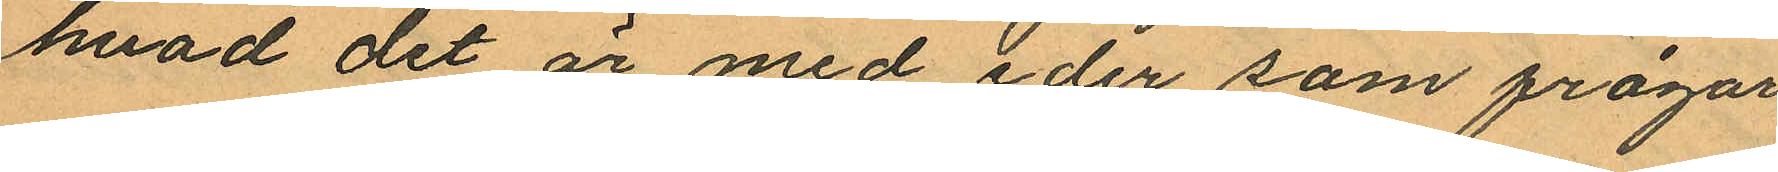hvad det är med eder som frågar
